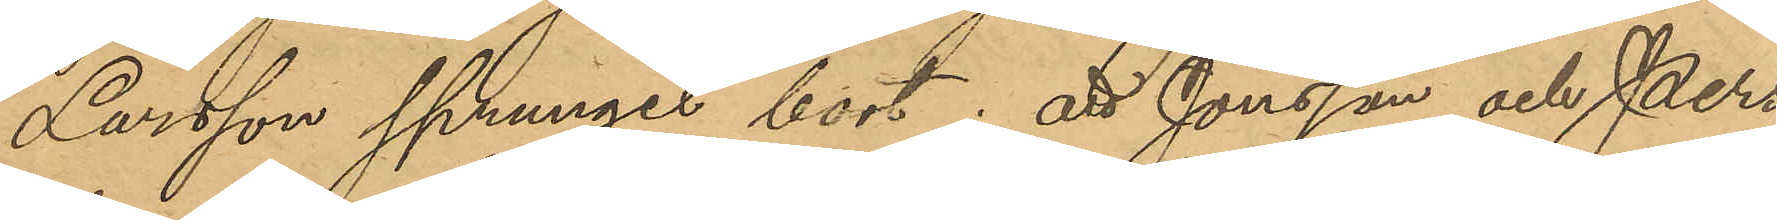Larsson sprungit bort; att Jönsson och Pers¬
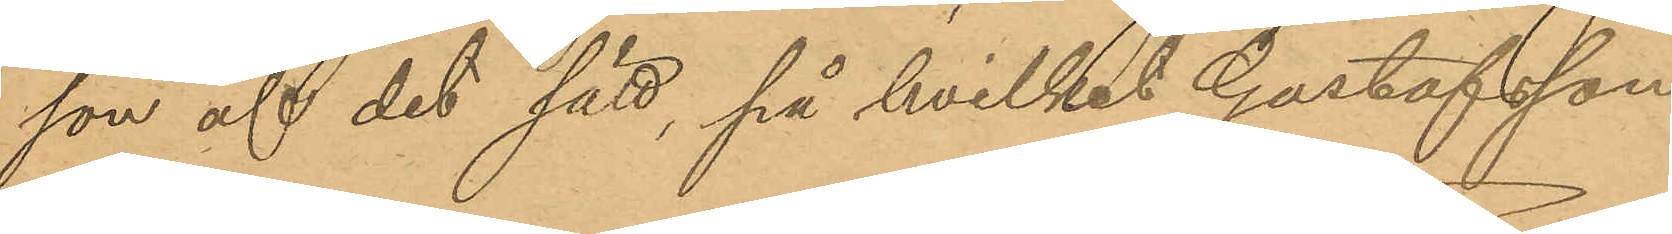son af det sätt, på hvilket Gustafsson
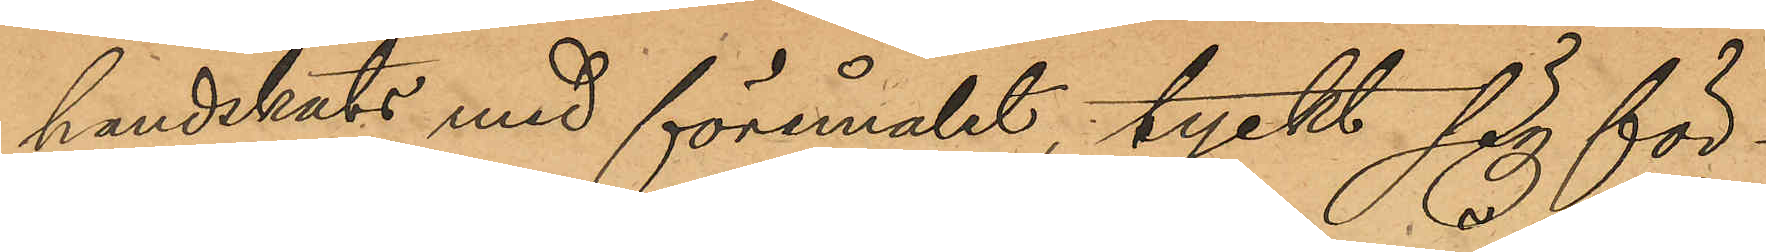handskats med föremålet, tyckt sig för¬
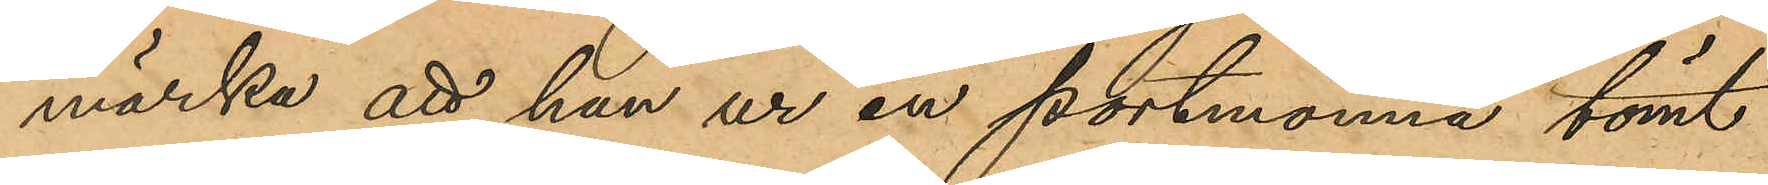märka att han ur en portmonnä tömt
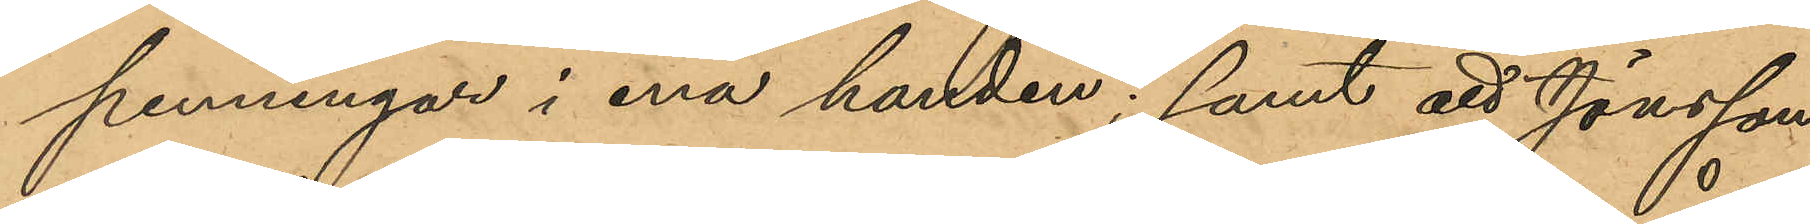penningar i ena handen; samt att Jönsson
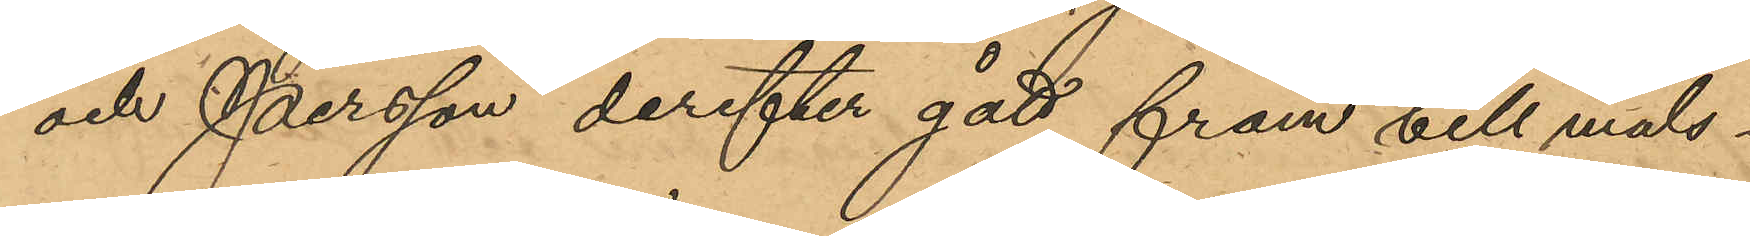och Persson derefter gått fram till måls¬
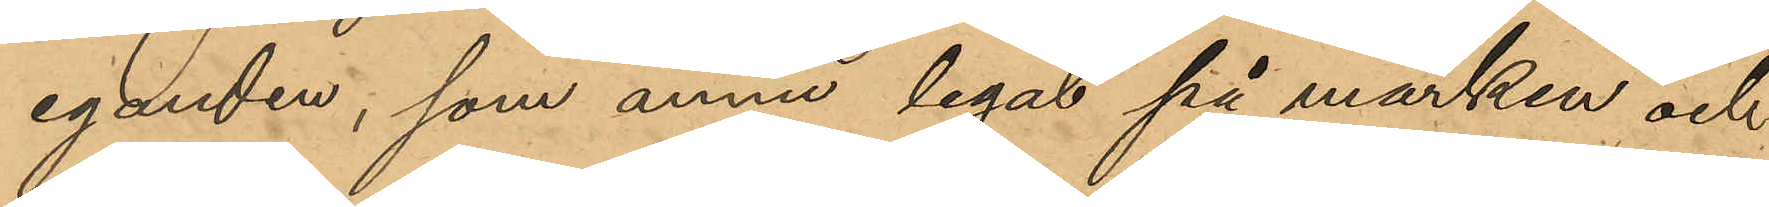eganden, som ännu legat på marken och
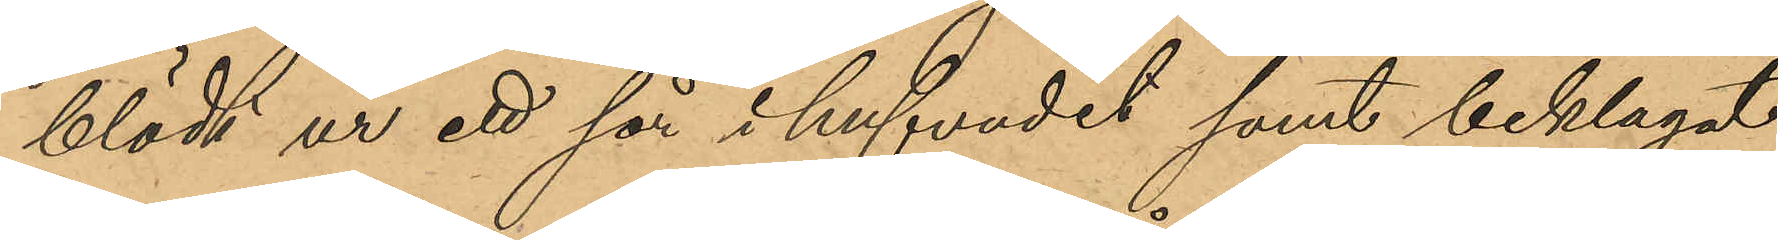blödt ur ett sår i hufvudet samt beklagat
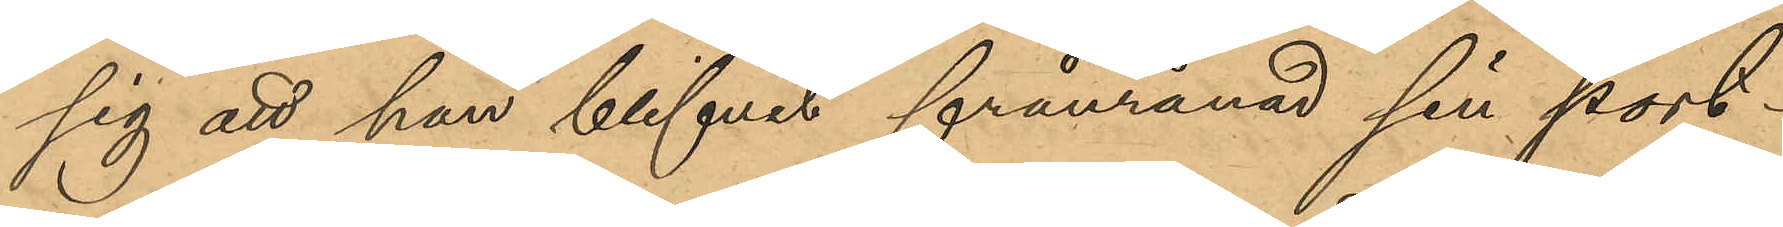sig att han blifvit frånrånad sin port¬
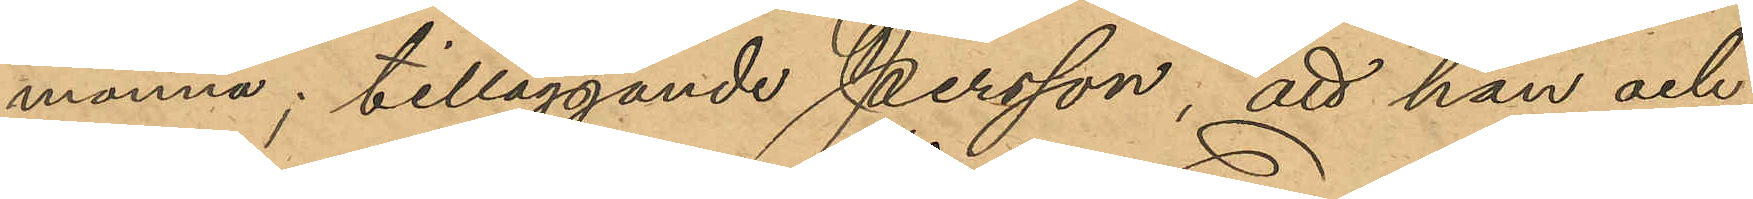monnä; tilläggande Persson, att han och
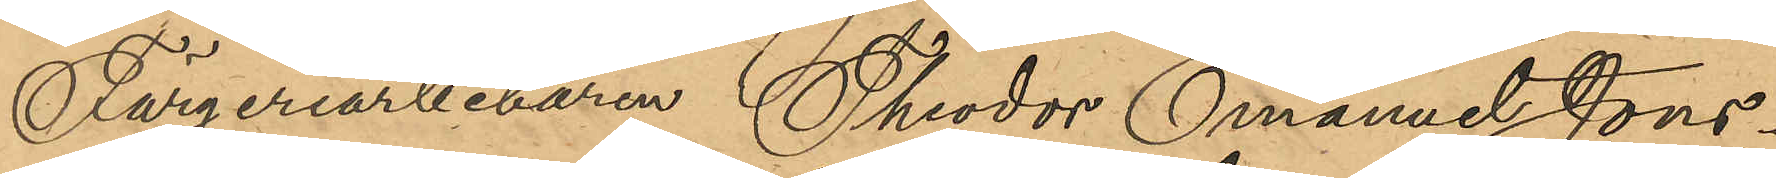 Färgeriarbetaren Theodor Emanuel Jons¬
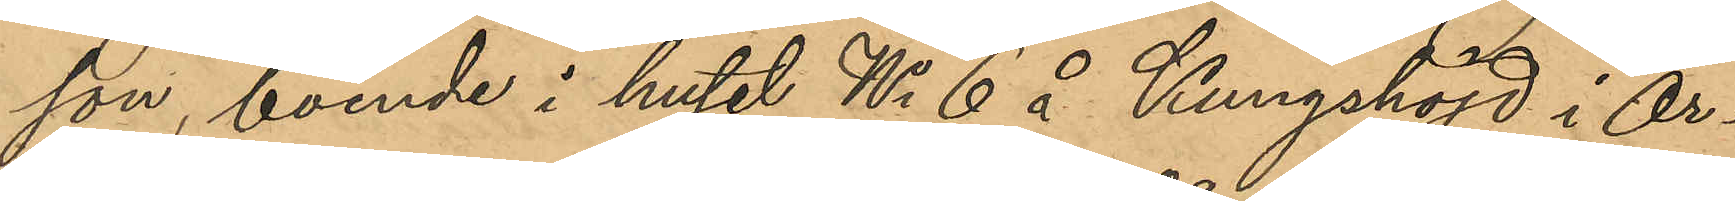son, boende i huset No 6 å Kungshöjd i Ör¬
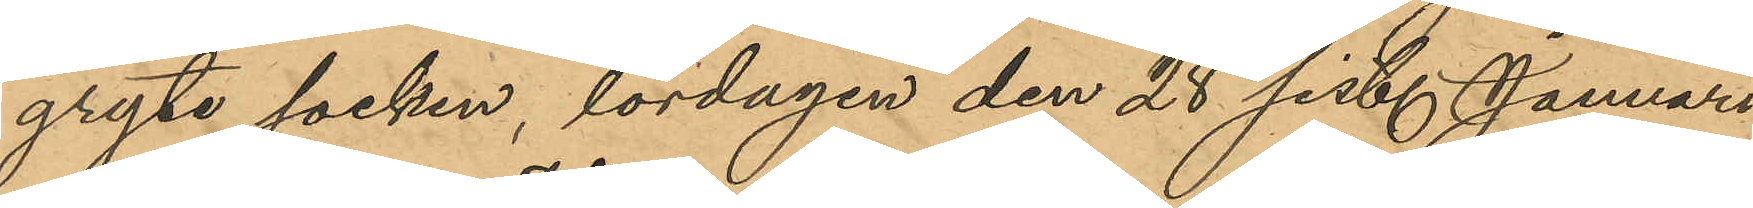gryte socken, lördagen den 28 sist. Januari
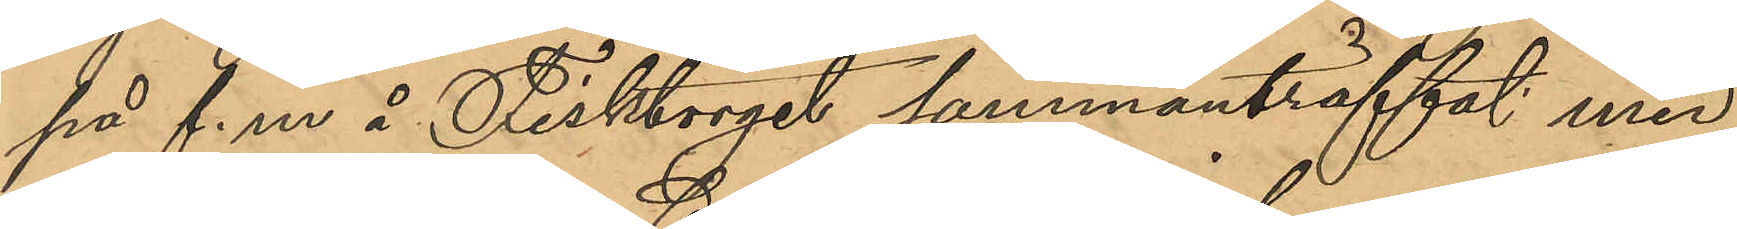på f. m å Fisktorget sammanträffat med 
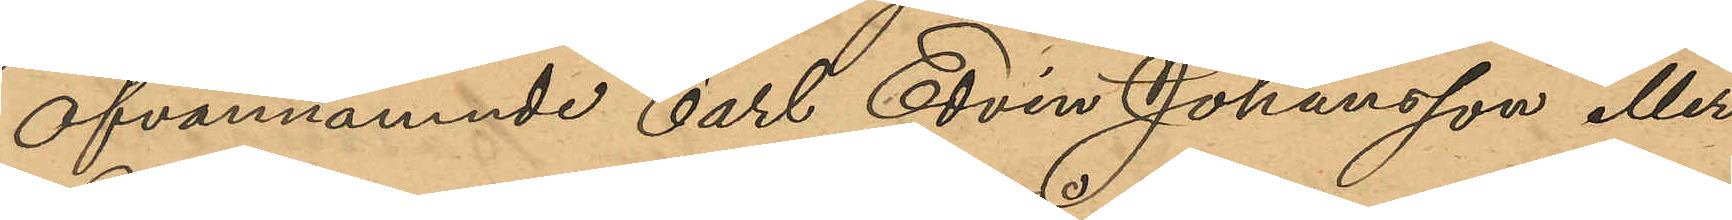ofvannämnde Carl Edvin Johansson eller 
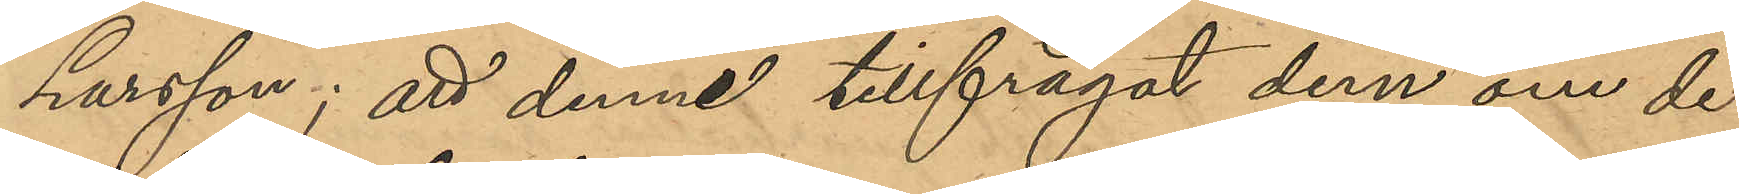Larsson; att denne tillfrågat dem om de
